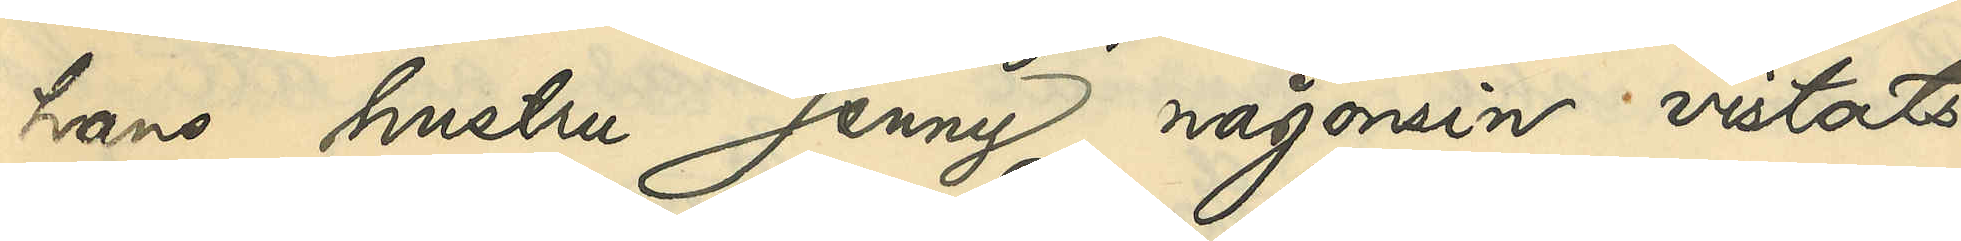hans hustru Jenny någonsin vistats
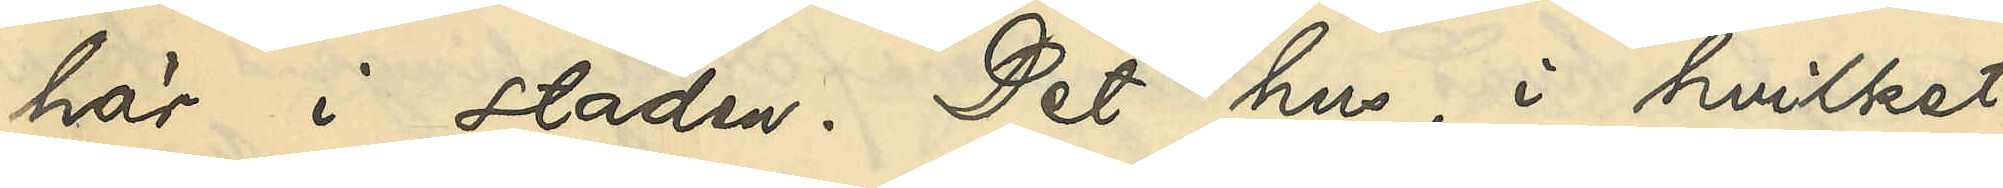här i staden. Det hus, i hvilket
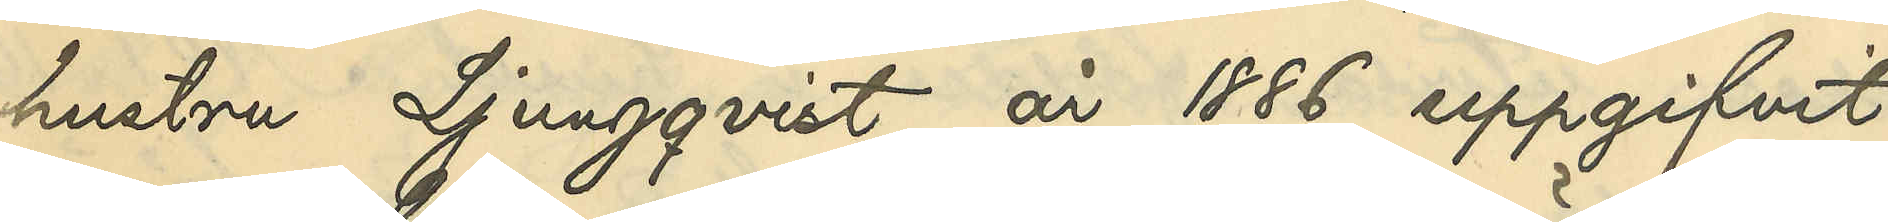hustru Ljungqvist år 1886 uppgifvit
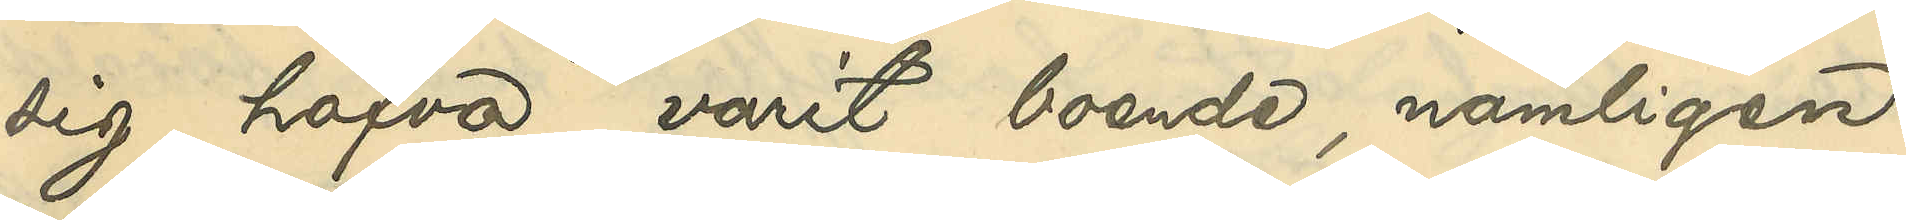sig hafva varit boende, nämligen
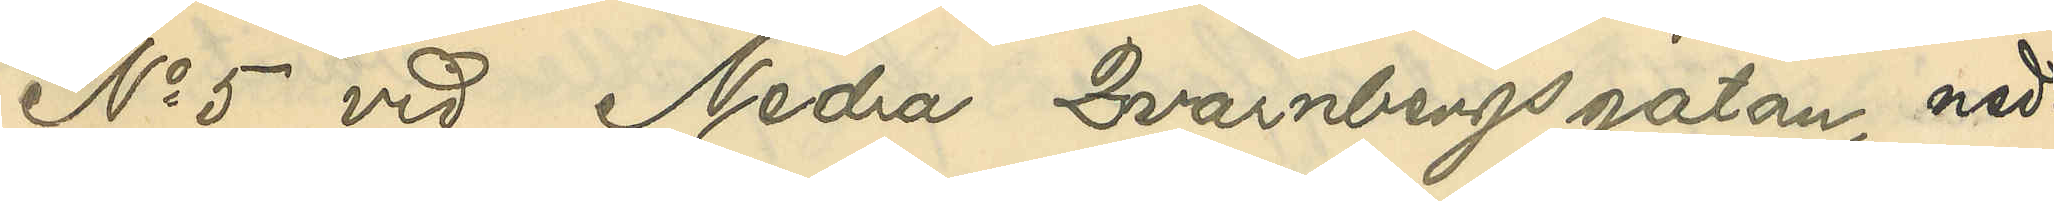No 5 vid Nedra Qvarnbergsgatan, ned¬
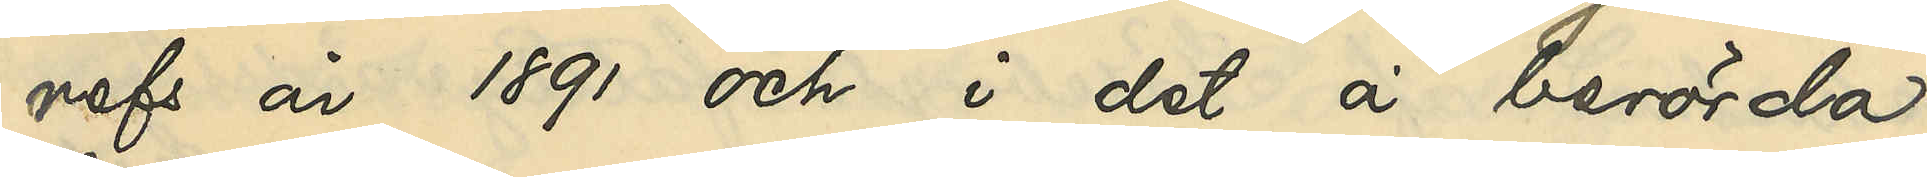refs år 1891 och i det å berörda
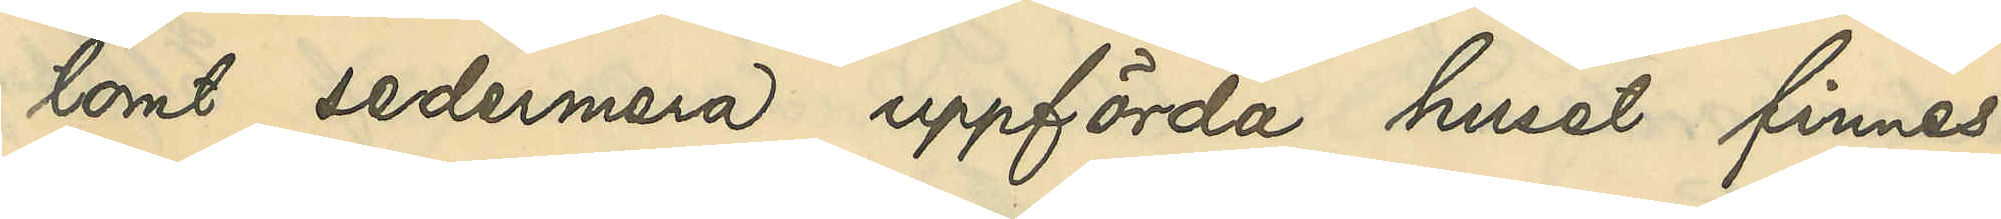tomt sedermera uppförda huset finnes
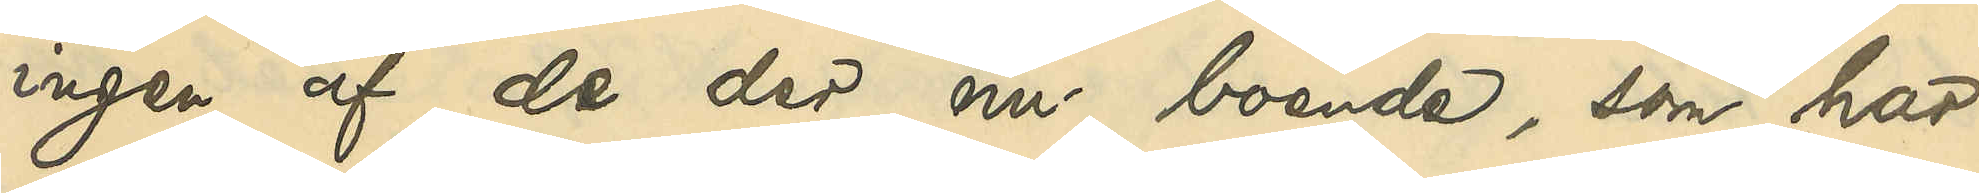ingen af de der nu boende, som har
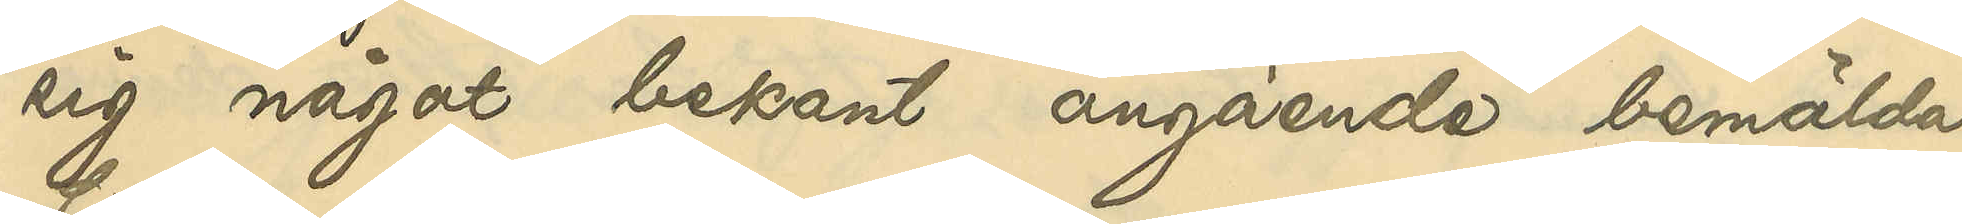sig något bekant angående bemälda
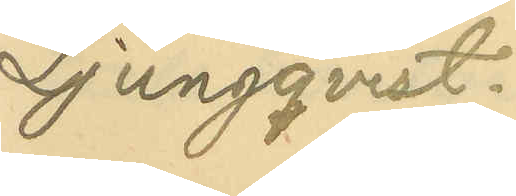Ljungqvist.
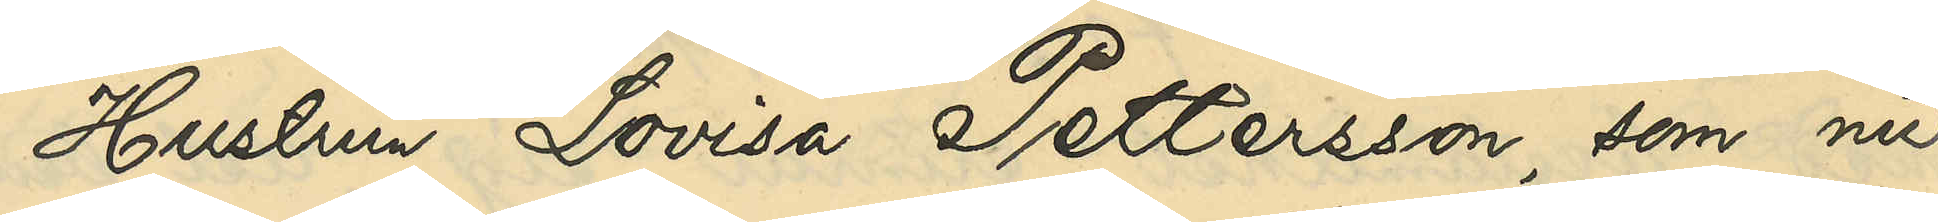Hustrun Lovisa Pettersson, som nu
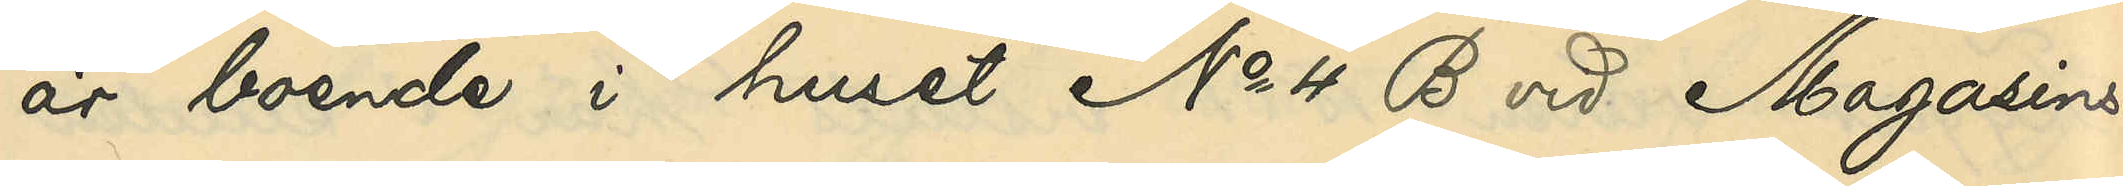är boende i huset No 4 B vid Magasins¬
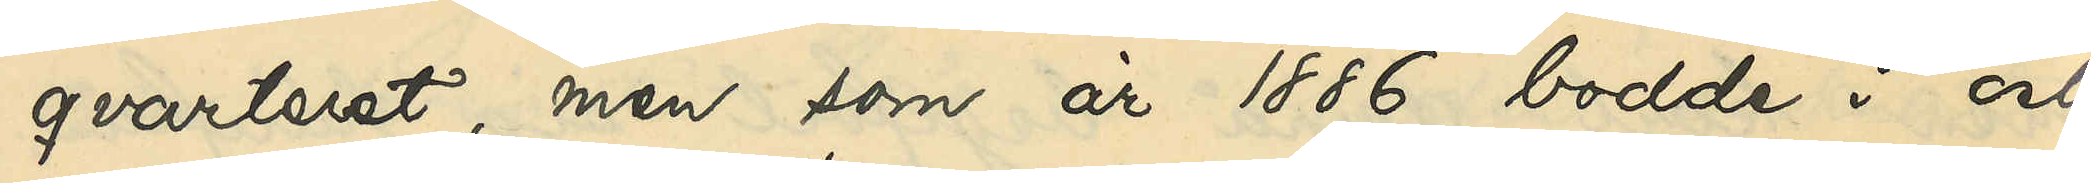qvarteret, men som år 1886 bodde i och
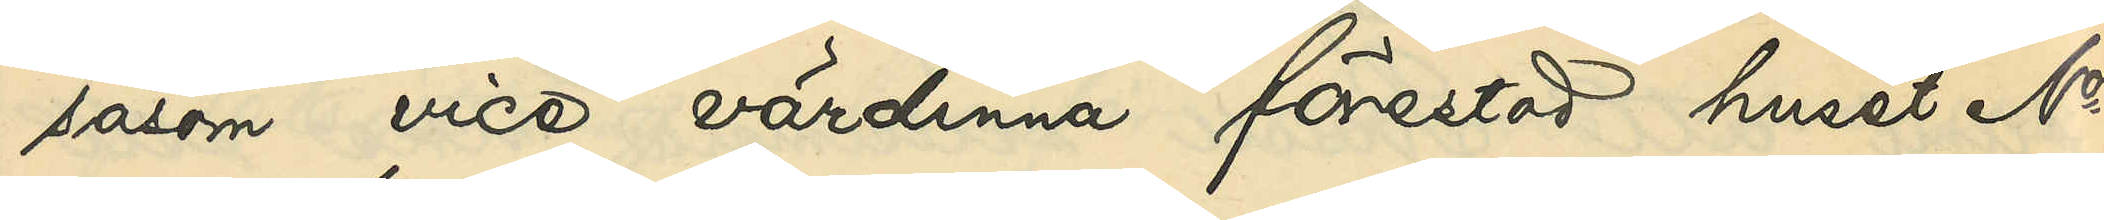såsom vice värdinna förestod huset No 5
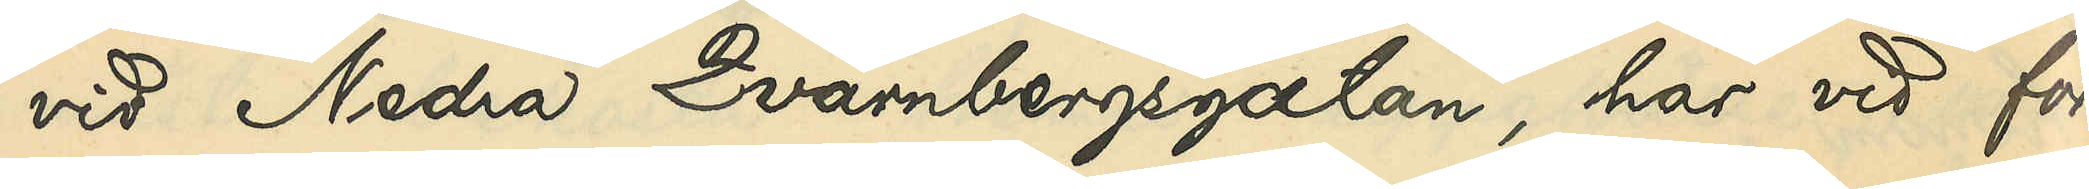vid Nedra Qvarnbergsgatan, har vid för¬
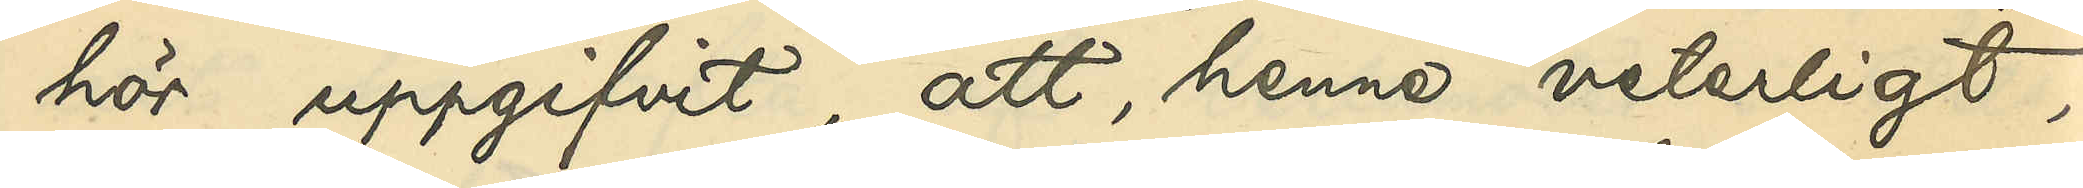hör uppgifvit, att, henne veterligt,
